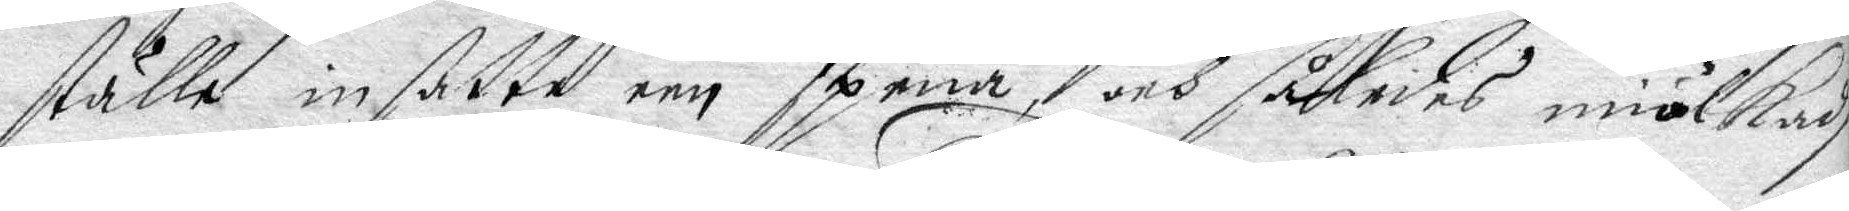ställe insatte een spena, och således miölkadh
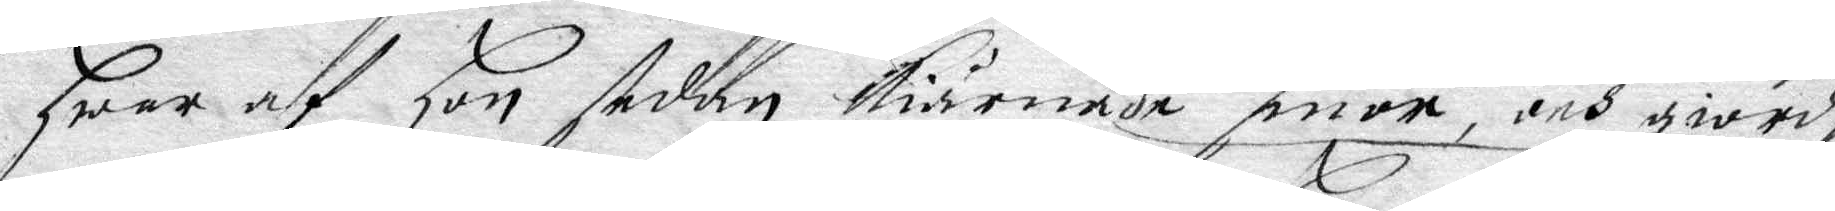Hwar af Hon sedan kiärnade smör, och giorde
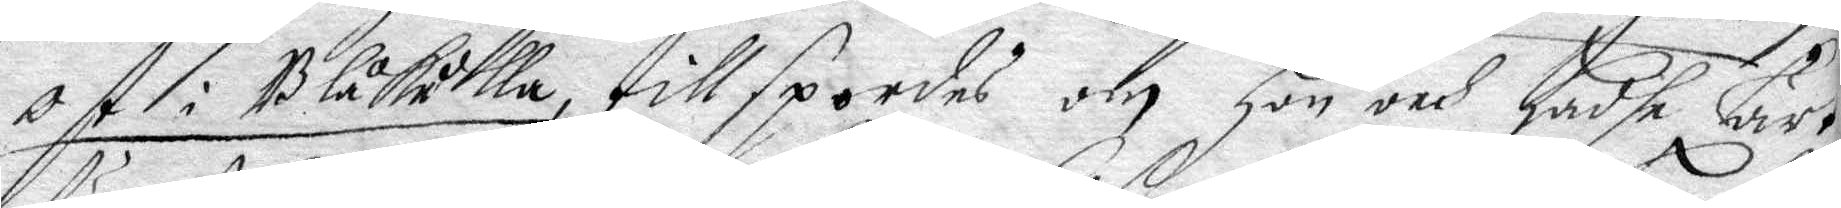ost i Blåkulla, tillspordes och Hon och hadhe lärt
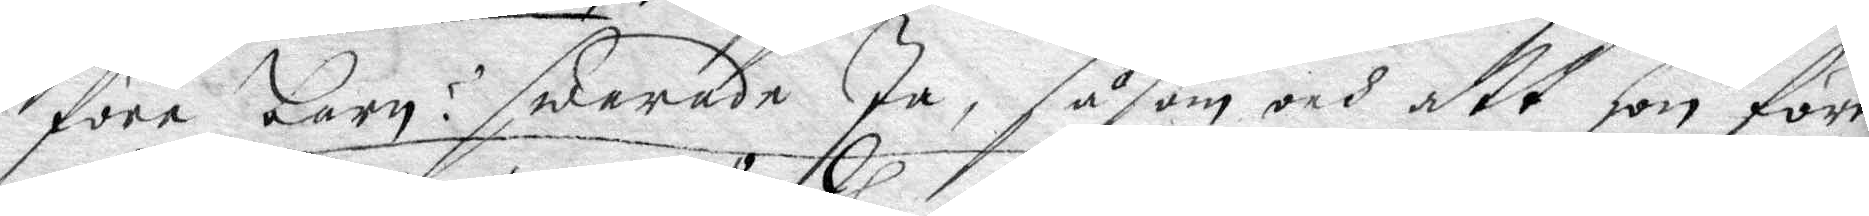före barn? swarade Ja, såsom och att hon förr
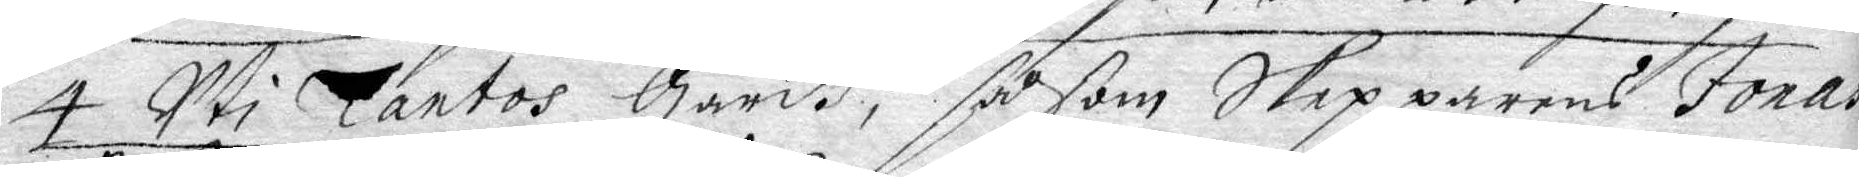4 uti Tantos gårdh, såsom Skepparens Jonas
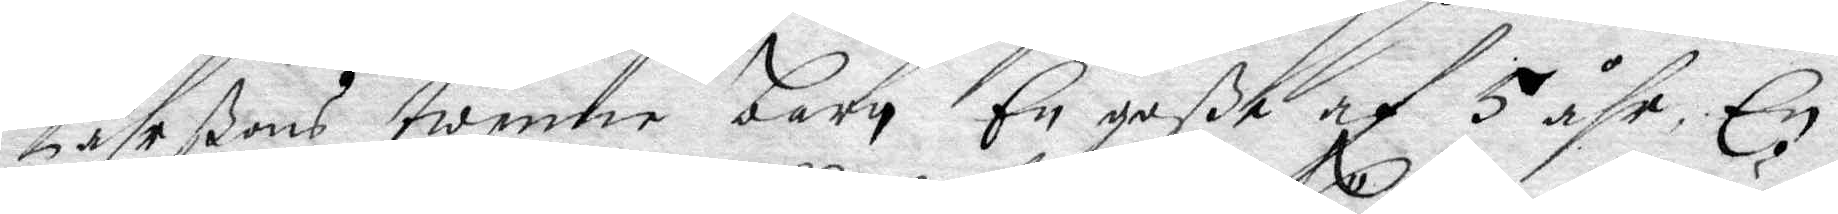Pährßons twenne barn En goße af 5 åhr, En
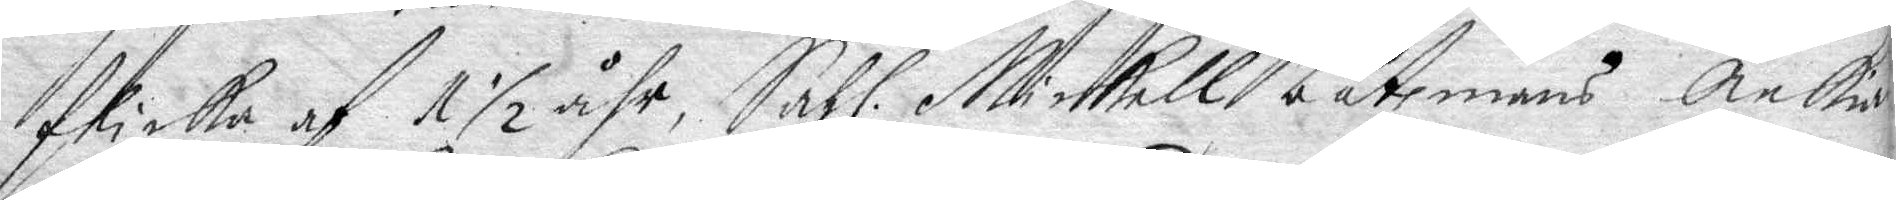flicka af 1 ½ åhr, Sahl. Mickell båtzmans Änkia 
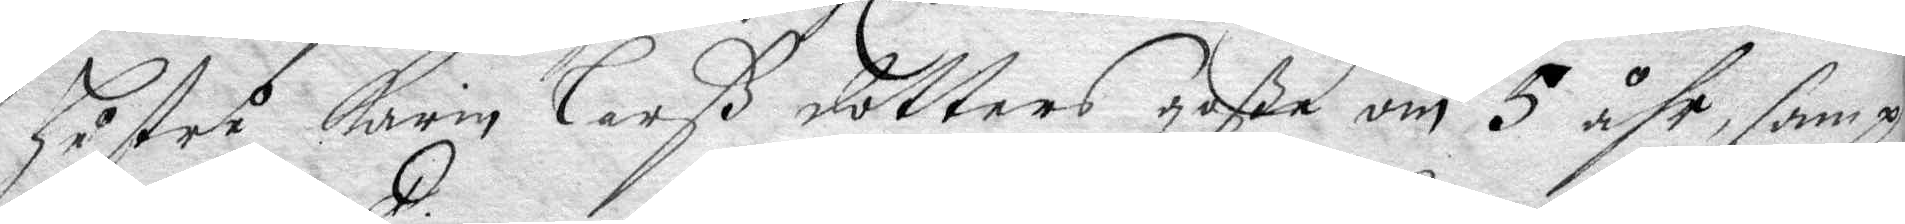hustru Karin Larß dotters gåße om 5 åhr, sampt
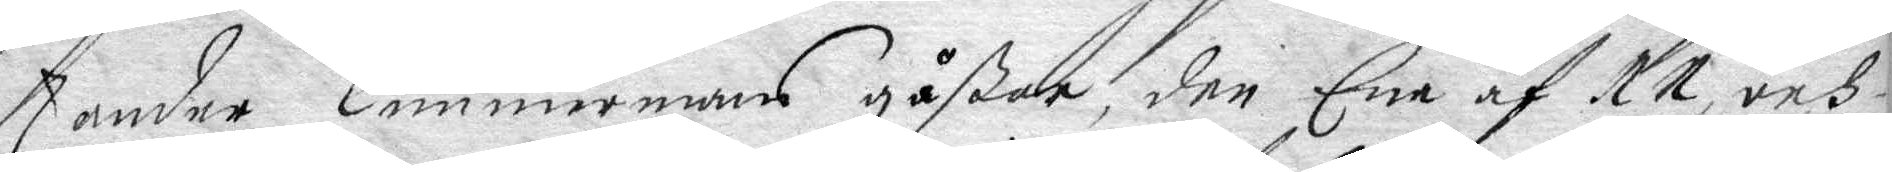Zander Timmermans gåßar, den Ene af 11, och
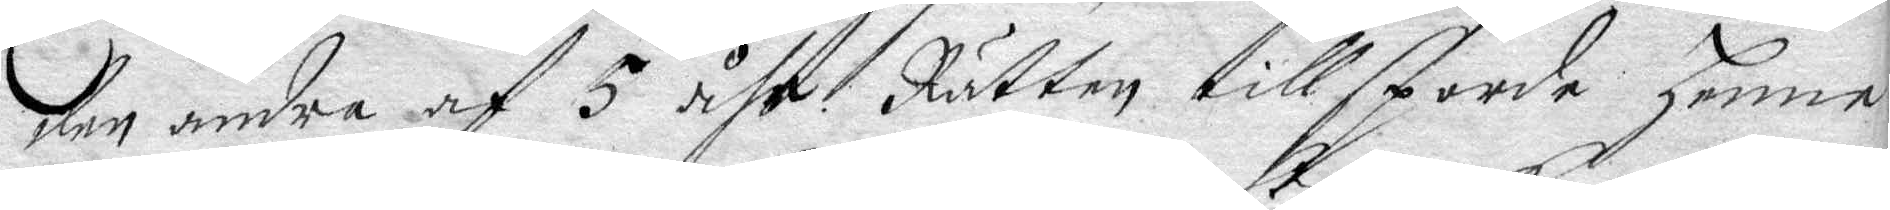den andra af 5 åhr. Rätten tillsporde henne
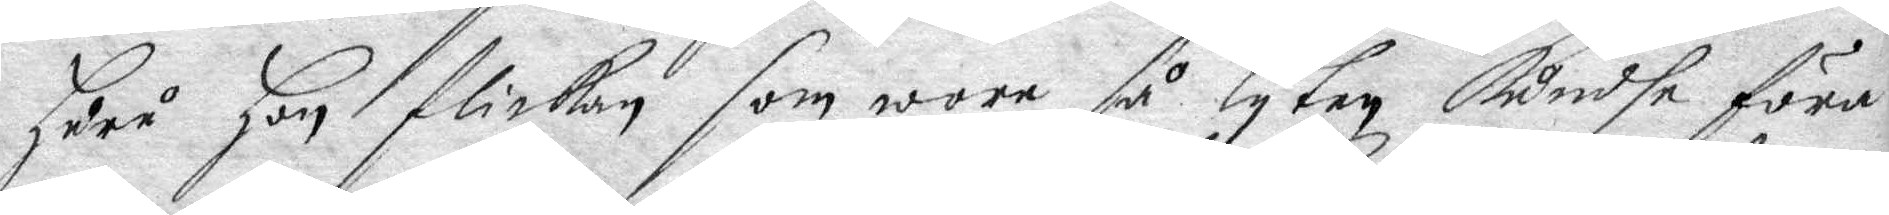huru hon flickan som wore så lyten kundhe föra
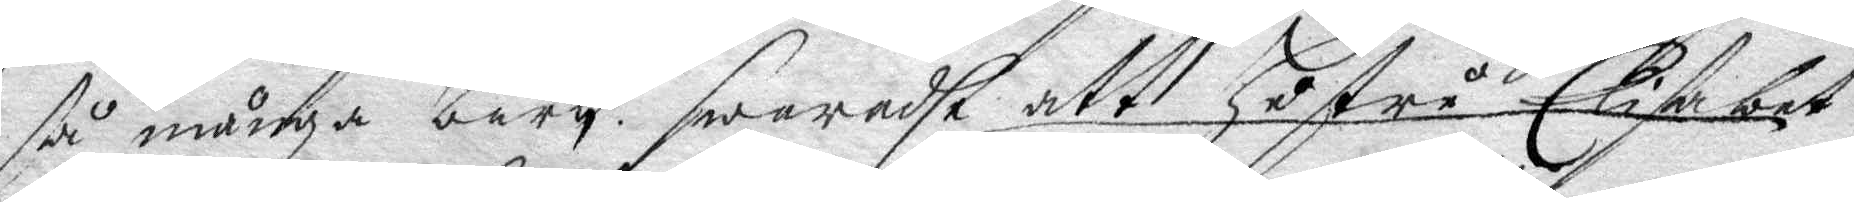så många barn, swaradhe att hustru Elisabet
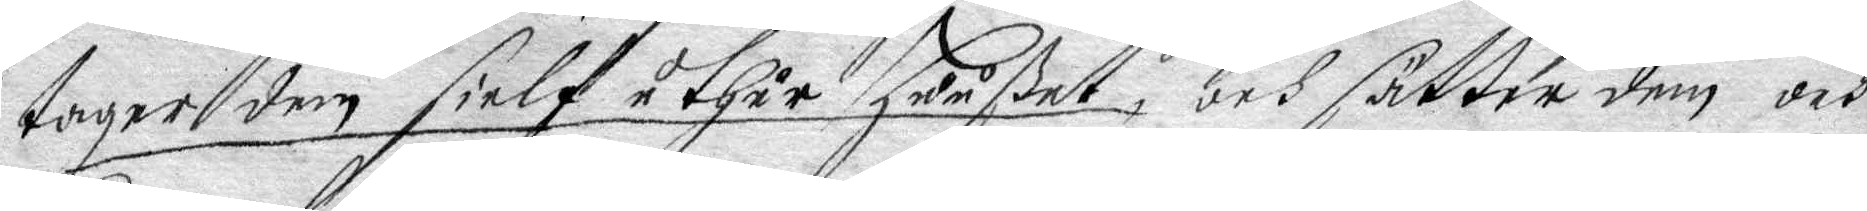tager dem sielf uthur Huußet, och sätter dem och
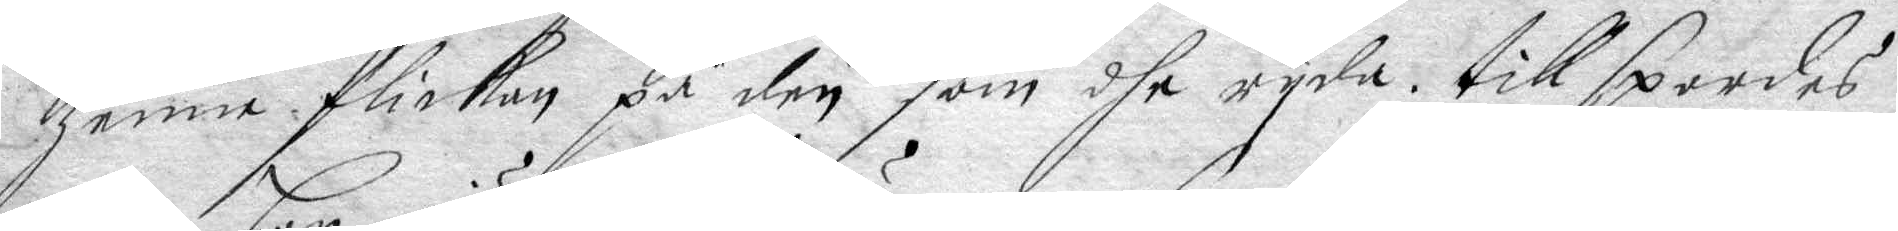henne flickan på den som dhe ryda. tillspordes
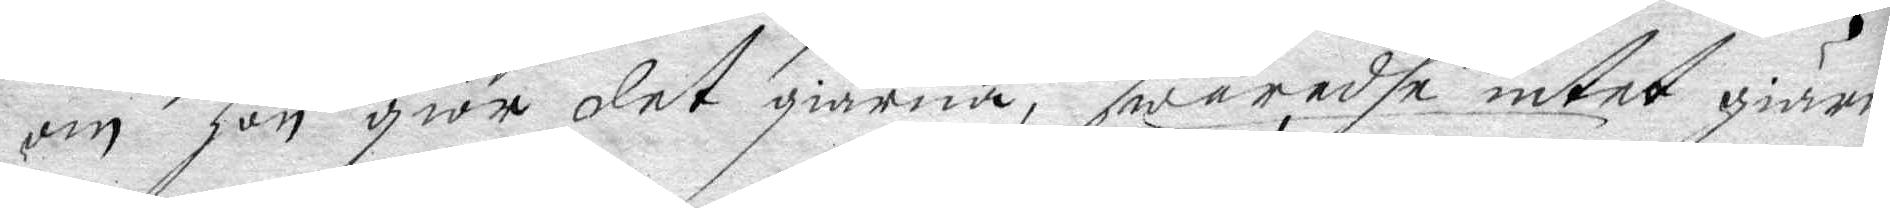om hon giör det giärna, swaradhe intet giärna
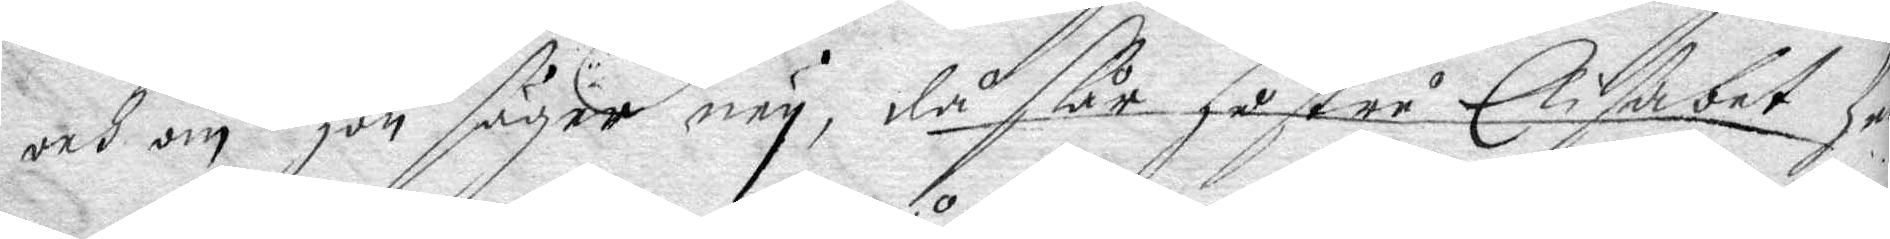och om hon säger ney, då slår hustru Elisabet he¬
